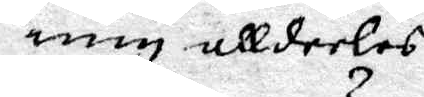mig alldeeles.
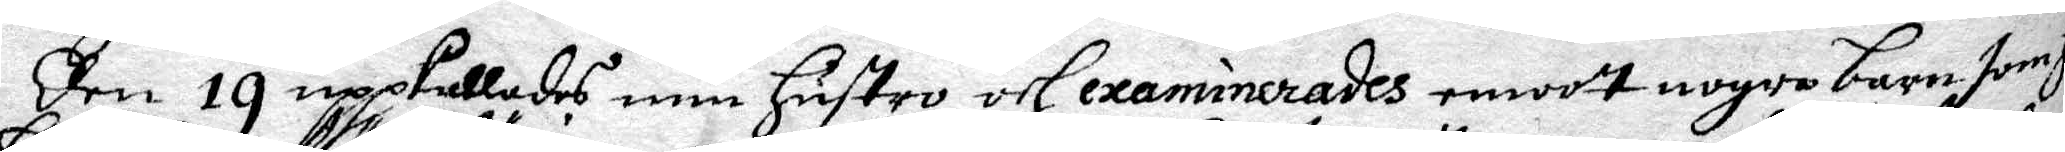Den 19 upppkallades min hustro och examinerades emoot nogre barn som henne
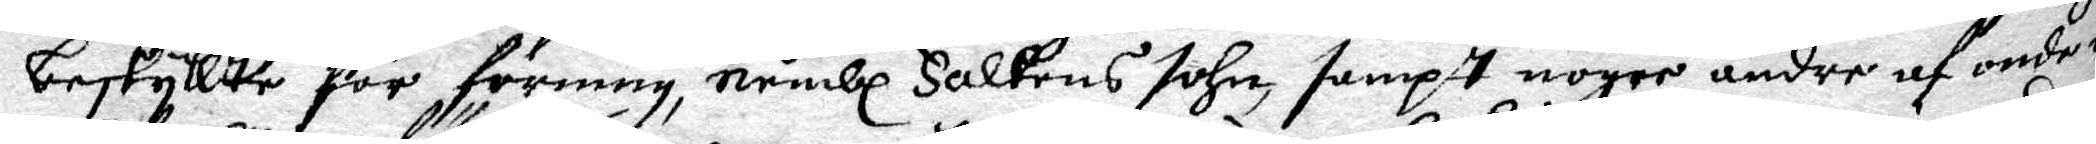beskyllte för förning, nembl Falkens sohn, sampt nogre andre af onde och
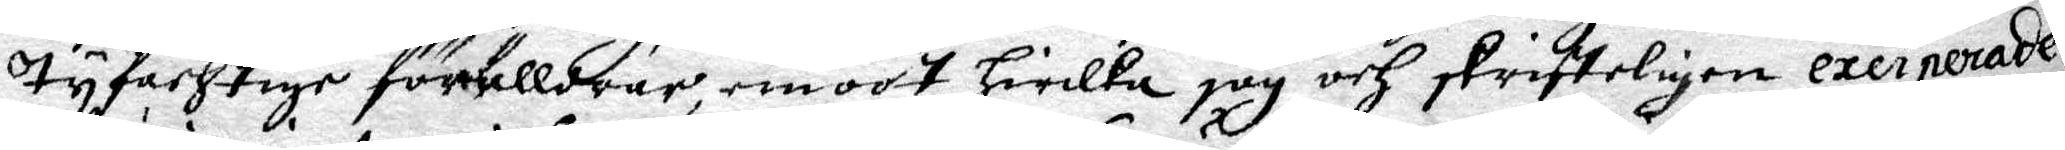tyfachtige förälldrar emoot hwilka jag och skrifteligen exciperade s
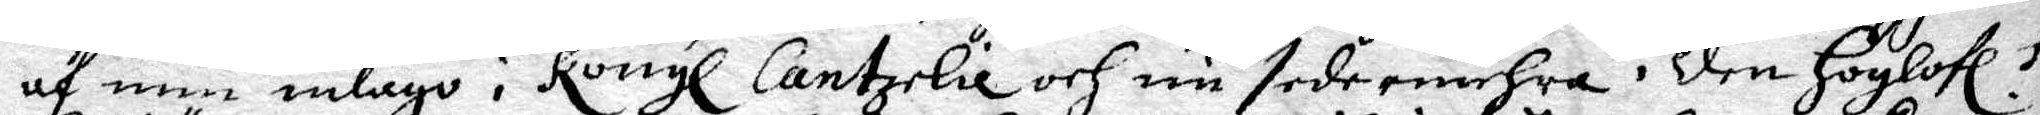af min inlago i Kongl. Cantzelie och nu sedermehra i den Höglofl. Kongl
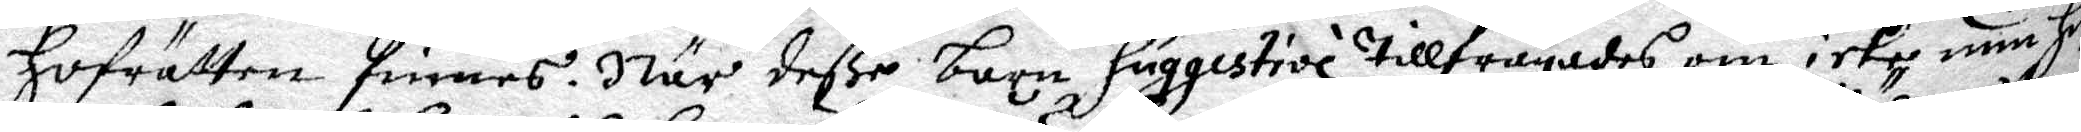Hofrätten finnes. När deße barn suggestive tillfrågades om icke min hustro
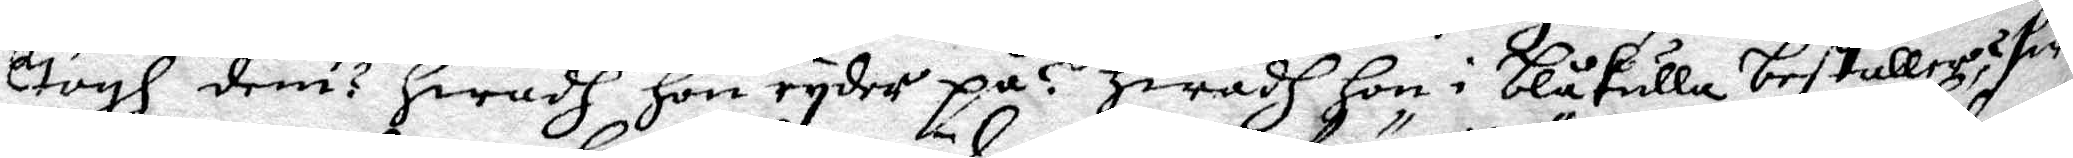togh dem? hwadh hon ryder på? Hwadh hon i blåkulla beställer: swarade
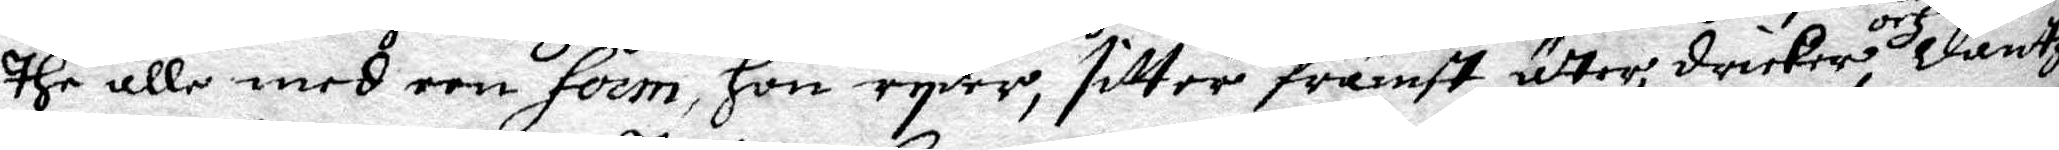the alle med een form, hon ryder, sitter främst, äter, dricker, och Dantzar
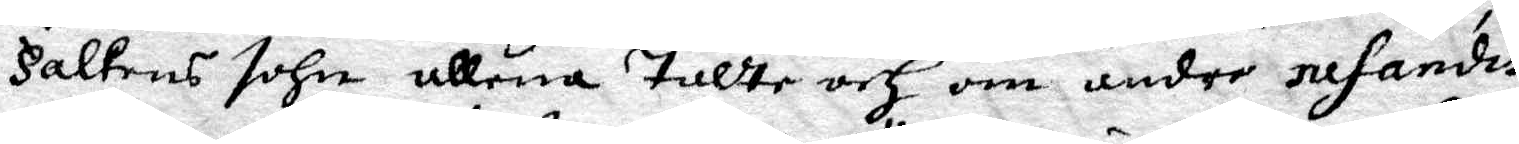Falkens sohn allena talte och om andre resandis.
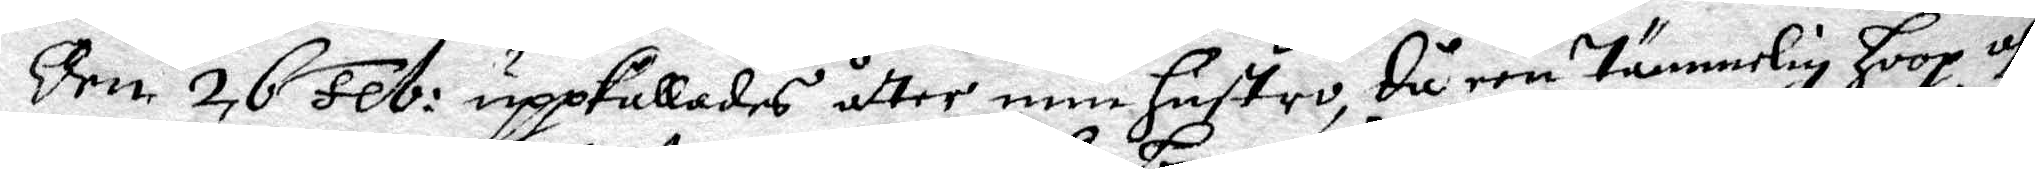Den 26 Feb. uppkallades åtter min hustro, då een tämmelig hoop af 
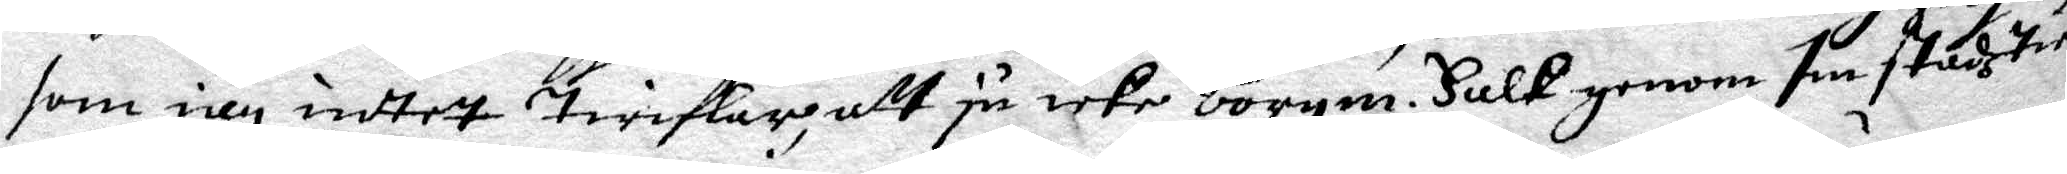som iag intet twiflar; att ju icke borgm. Falk genom sin stadztienare
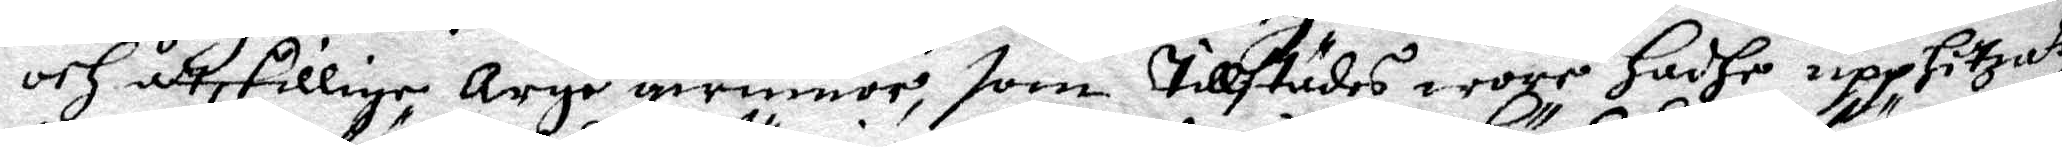och åtskillige, Arge qwinnor, som tillstädes wore hadhe upphittzat,
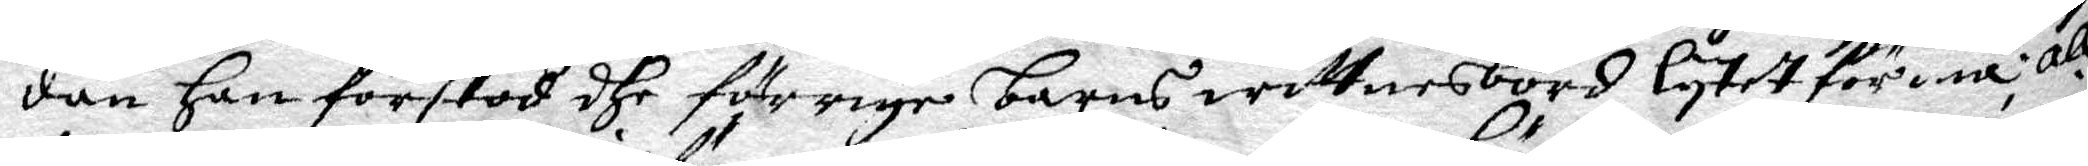dan han förstod dhe förrige barns wittnesbörd lytet förmå, allden¬
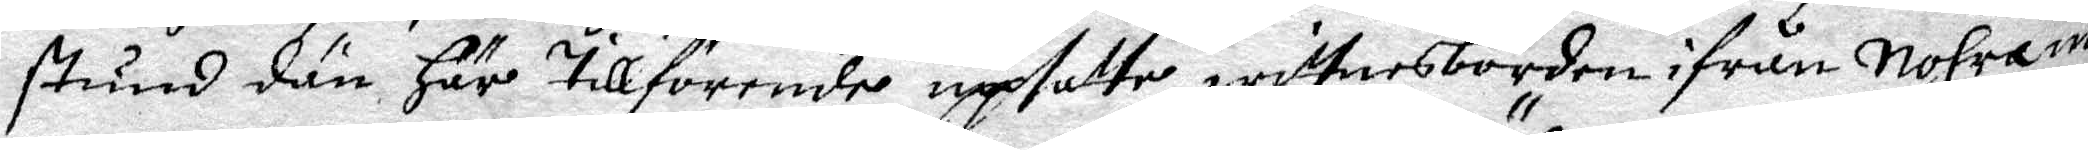stund dän här tillförende upsatte wittnesbörden ifrån Nohra int
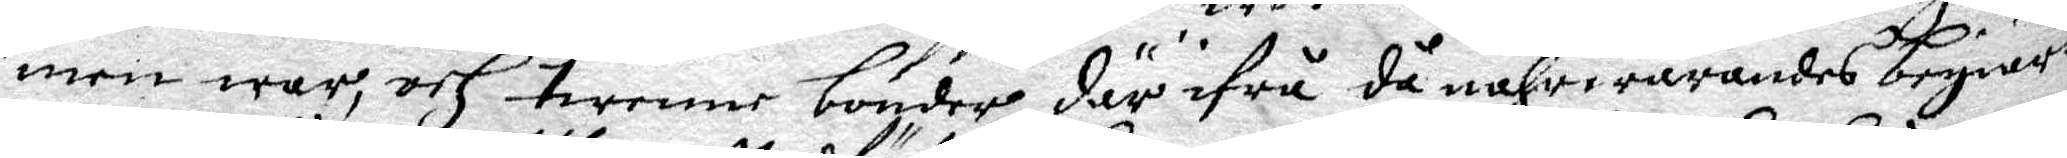men war, och twenne bönder där ifrå då nährwarandes begiärte
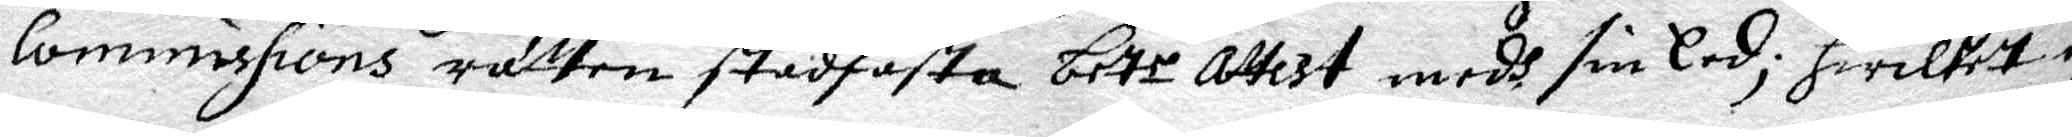Commissions rätten stadfästa bete attest medh sin Eed; hwilket de
